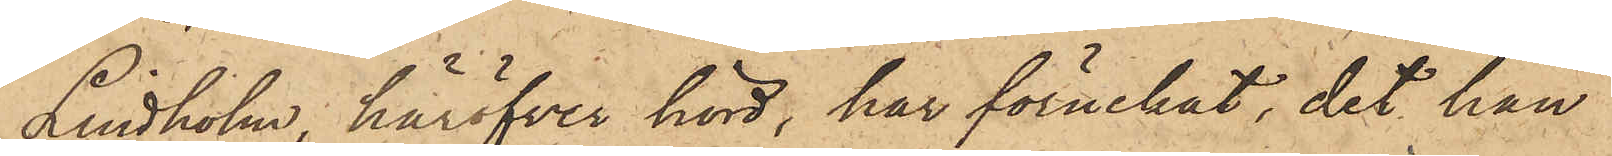Lindholm, häröfver hörd, har förnekat, det han
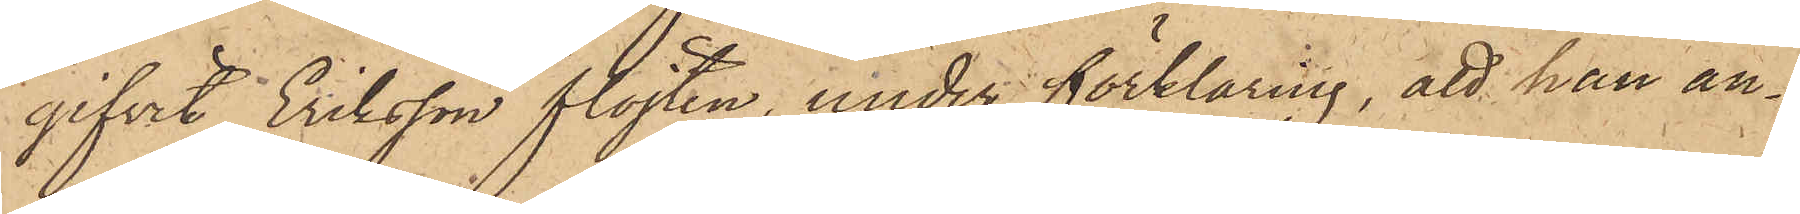gifvit Eriksson flöjten, under förklaring, att han an¬
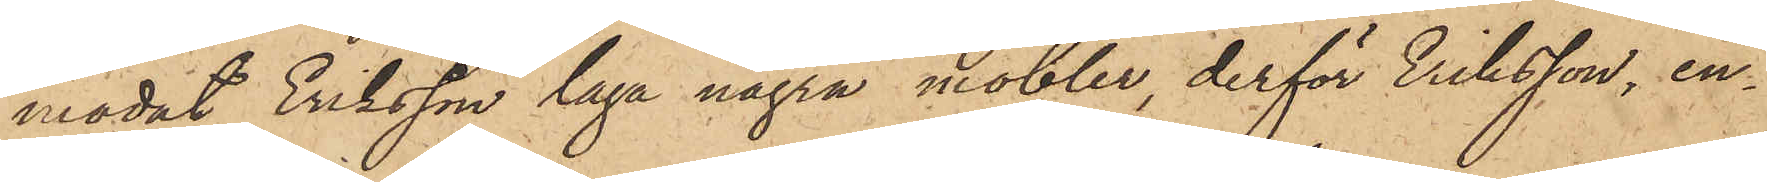modat Eriksson laga några möbler, derför Eriksson, en¬
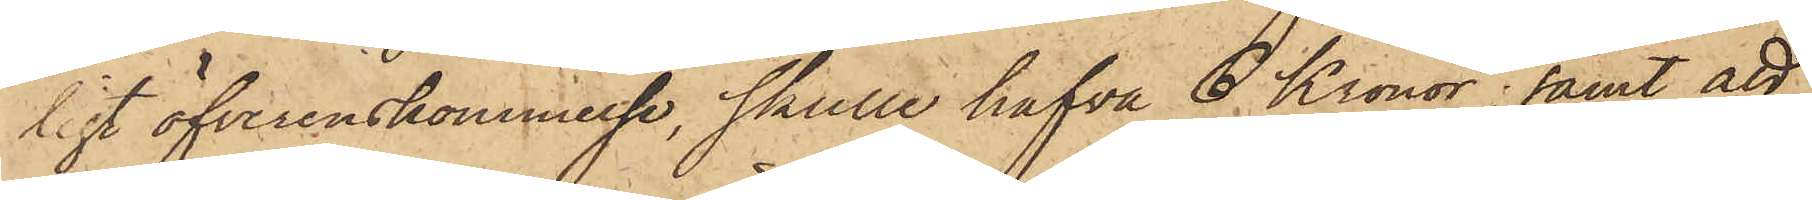ligt öfverenskommelse, skulle hafva 6 Kronor; samt att
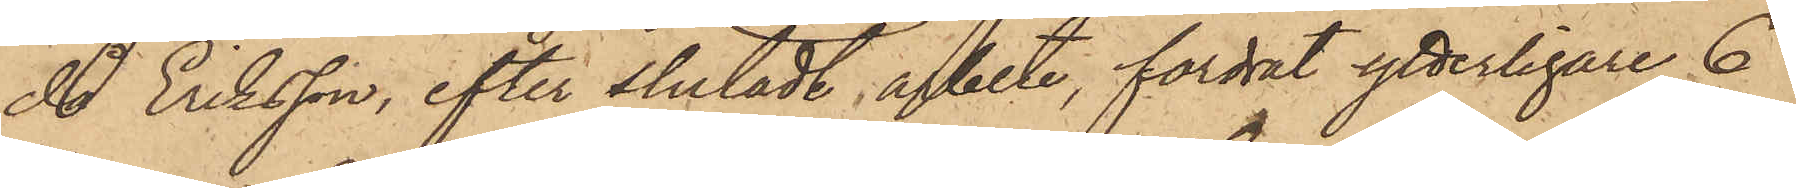då Eriksson, efter slutadt arbete, fordrat ytterligare 6
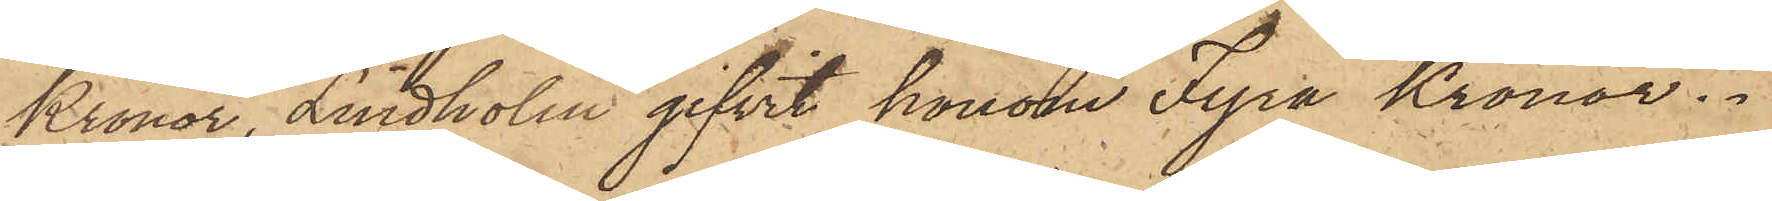Kronor, Lindholm gifvit honom Fyra Kronor.
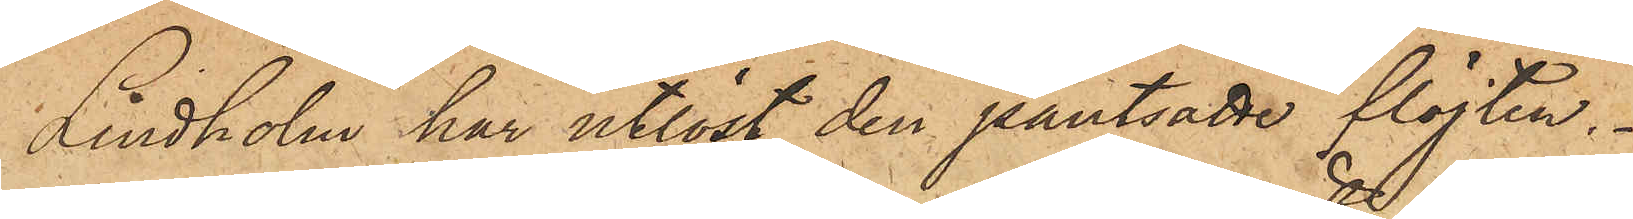Lindholm har utlöst den pantsatte flöjten.
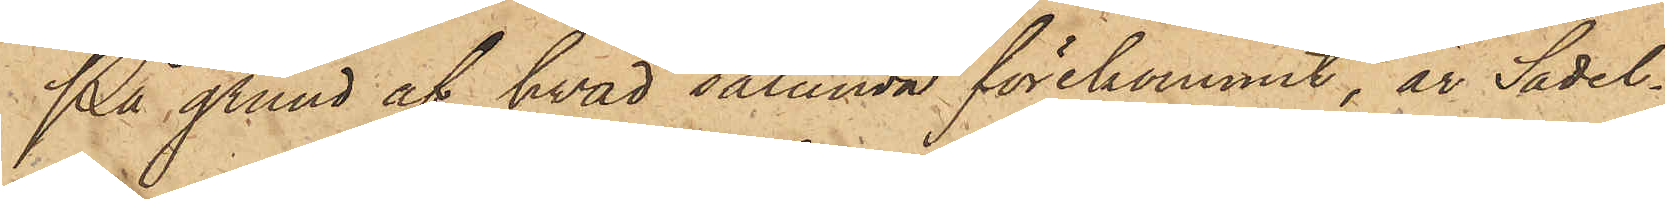På grund af hvad sålunda förekommit, är Sadel¬
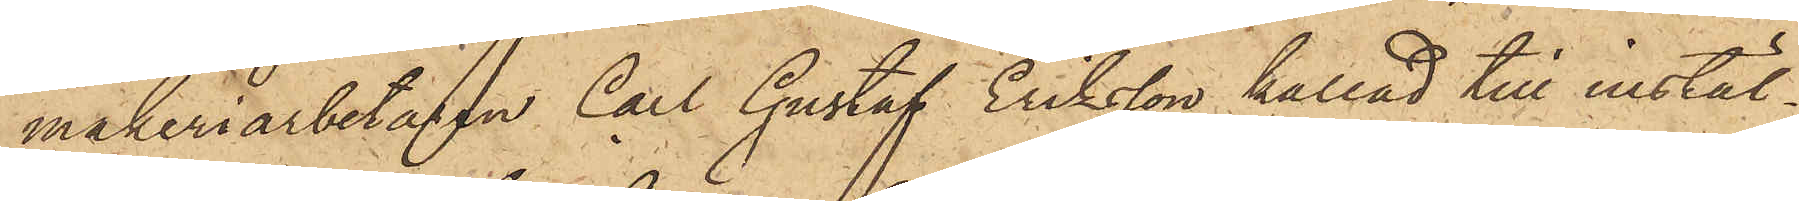makeriarbetaren Carl Gustaf Eriksson kallad till instäl¬
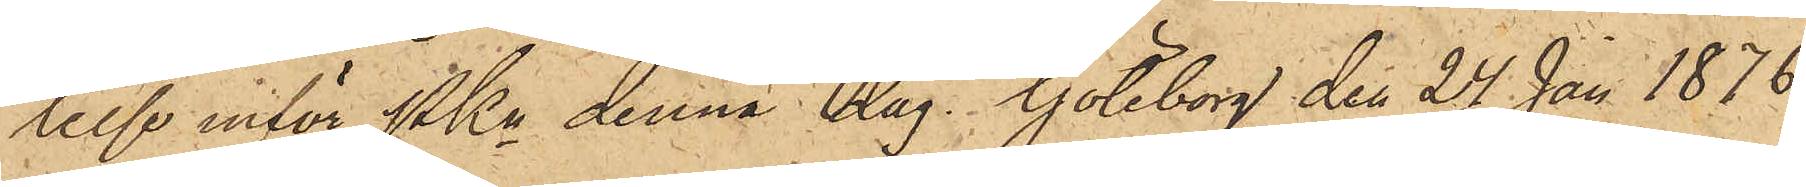lelse inför Pkn denna dag. Göteborg den 24 Jan 1876.
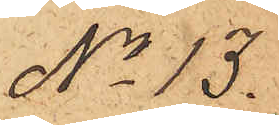No 13.
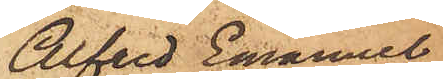Alfred Emanuel
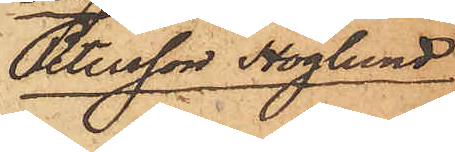Petersson Höglund
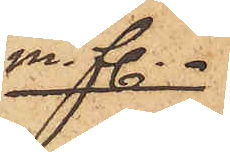m.fl.
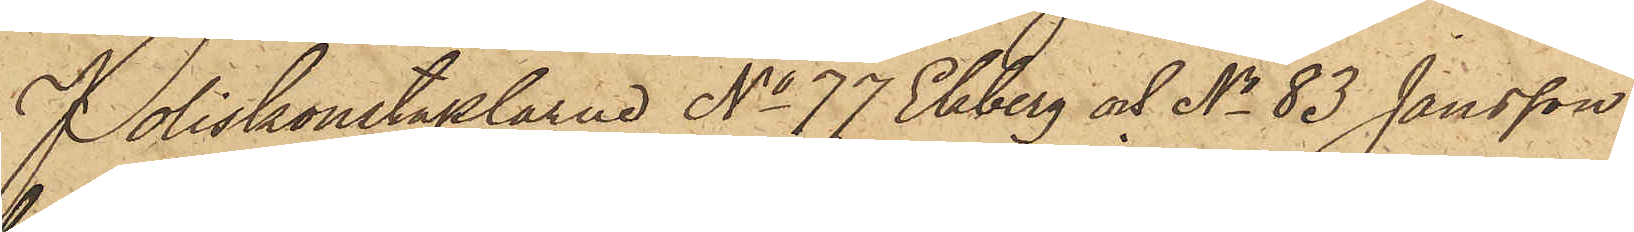Poliskonstaplarne No 77 Ekberg och No 83 Jansson
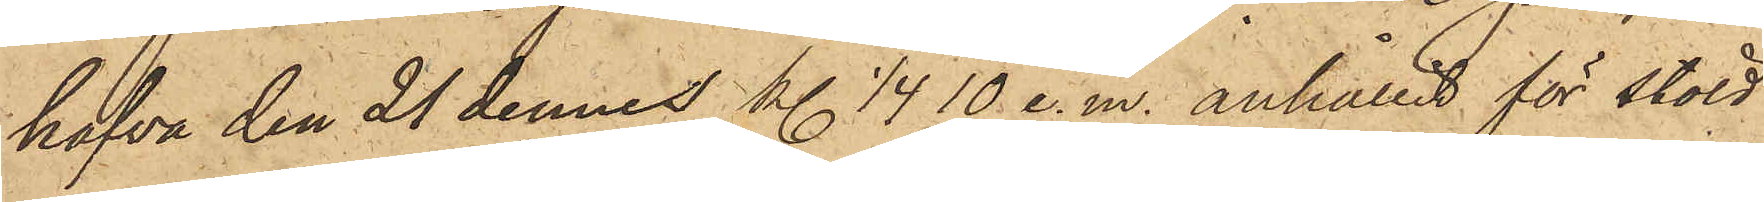hafva den 21 dennes kl .1/4 10 e. m. anhållit för stöld
